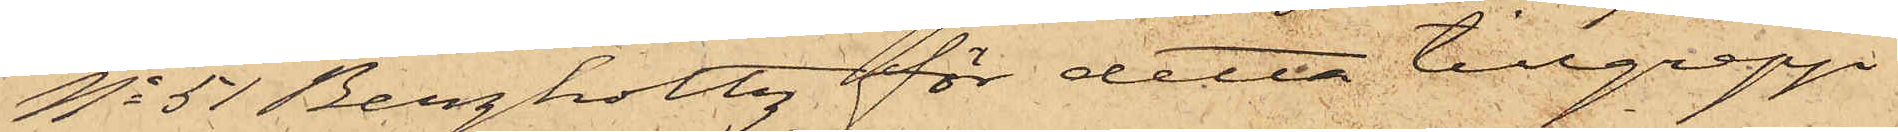No 51 Bergholtz för detta tillgrepp
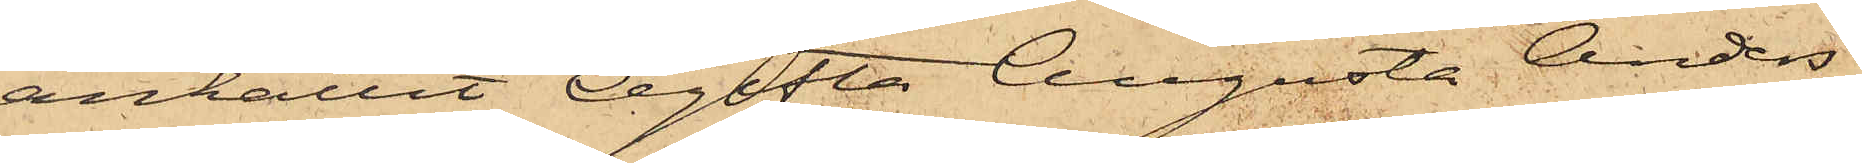anhållit Ogifta Augusta Anders¬
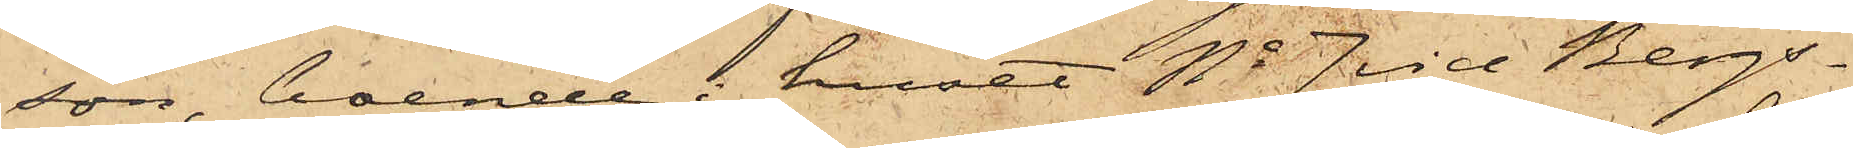son, boende i huset No 7 vid Bergs¬
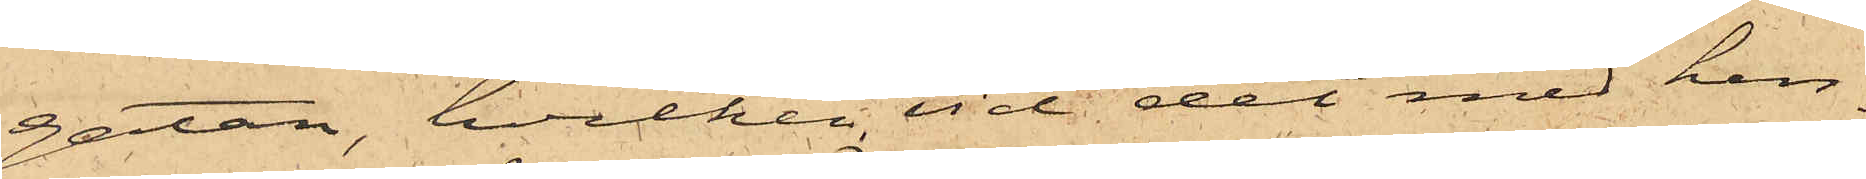gatan, hvilken vid det med hen¬
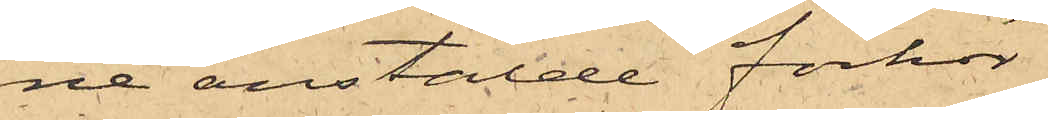ne anstälde förhör
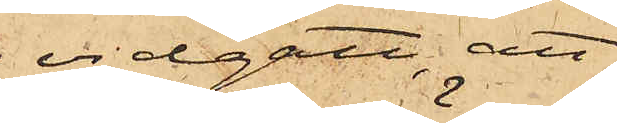vidgått, att
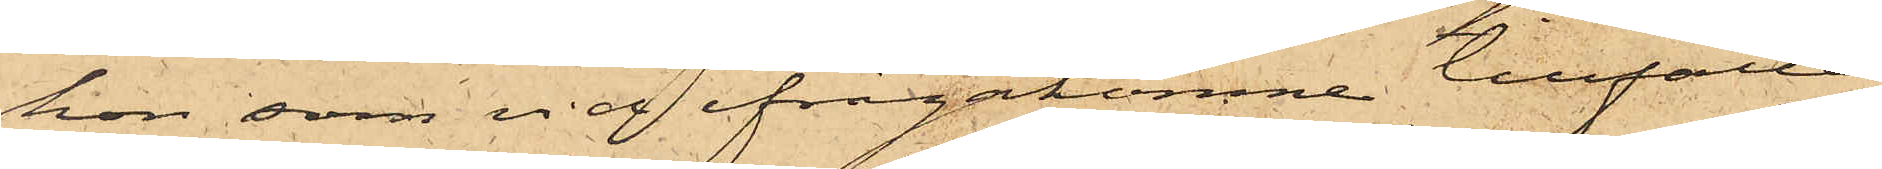hon, som vid ifrågakomne tillfälle
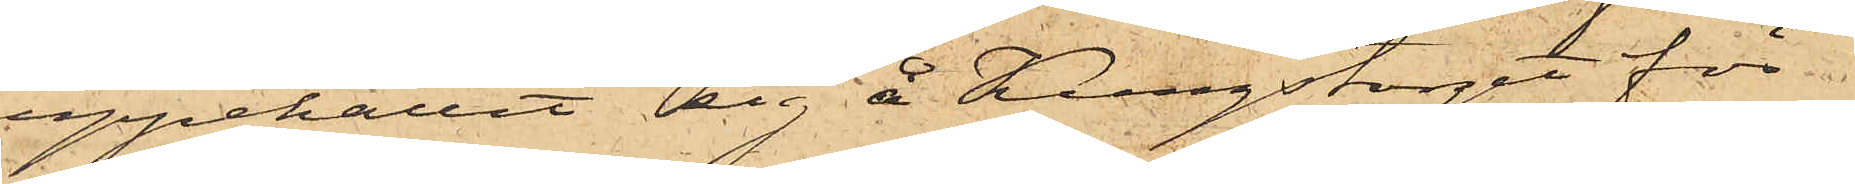uppehållit sig å Kungstorget för
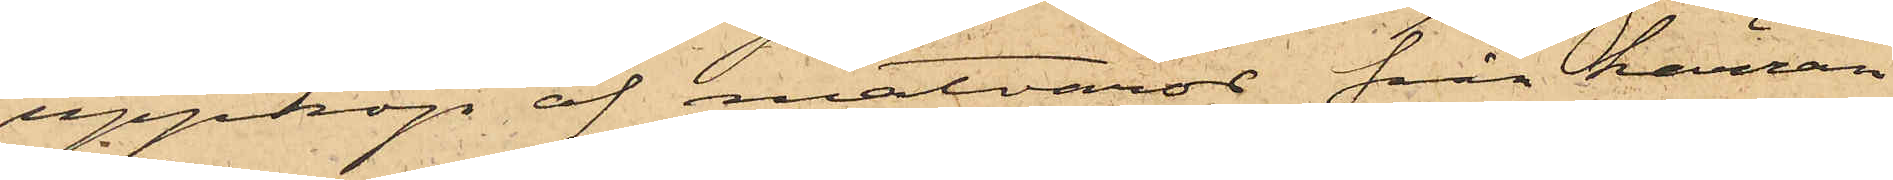uppköp af matvaror från kärran
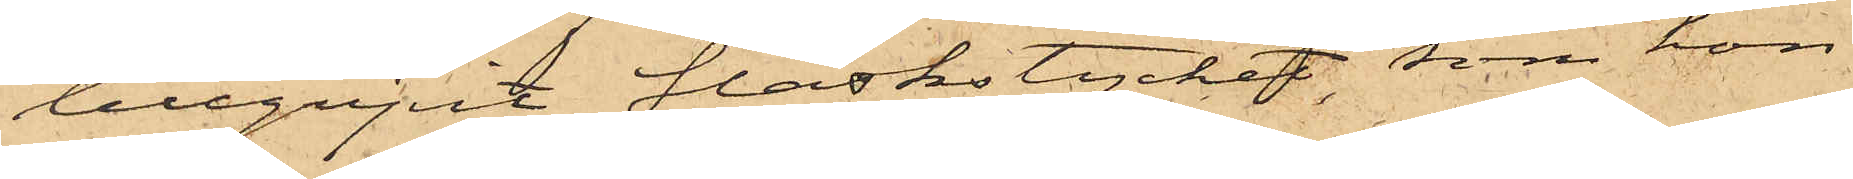tillgripit fläskstycket, som hon
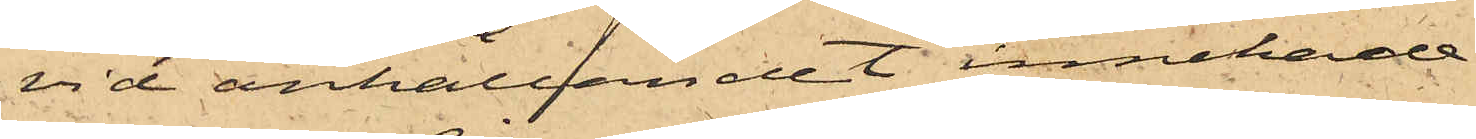vid anhållandet innehade.
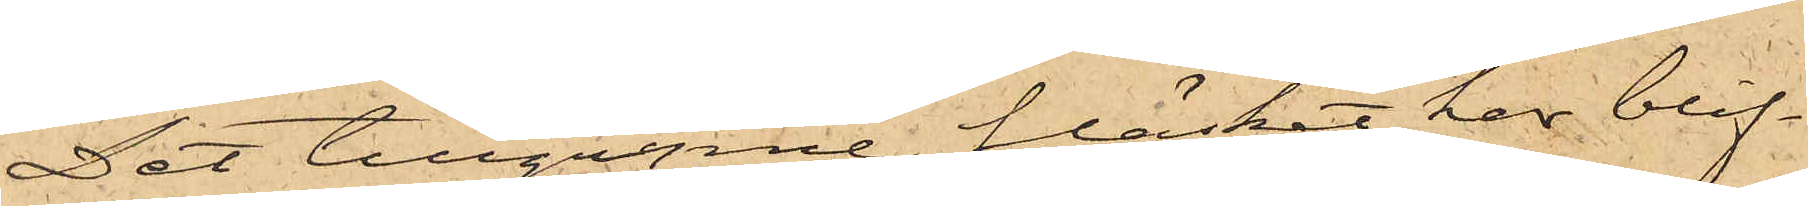Det tillgripne fläsket har blif¬
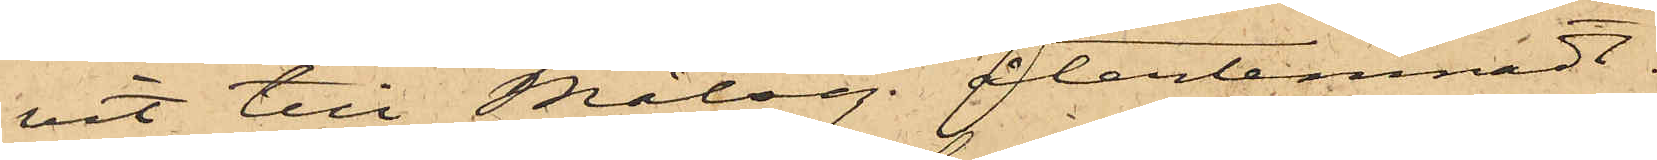vit till Målseg. återlemnadt.
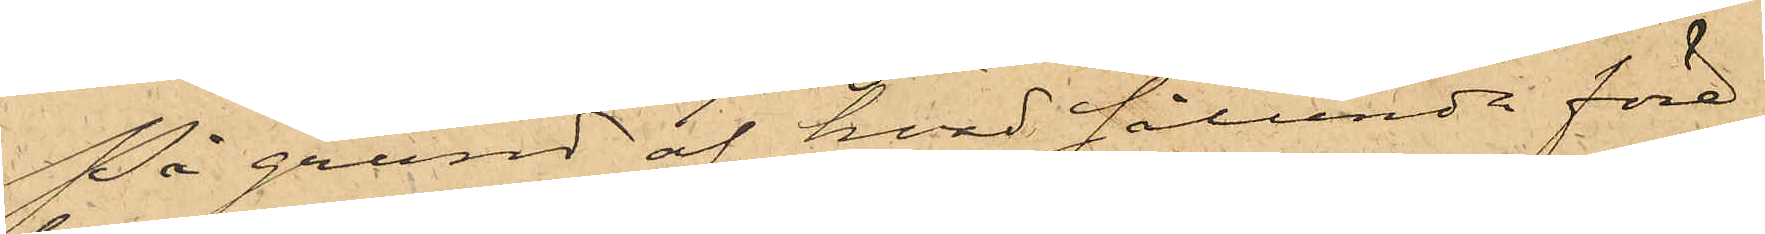På grund af hvad sålunda före¬
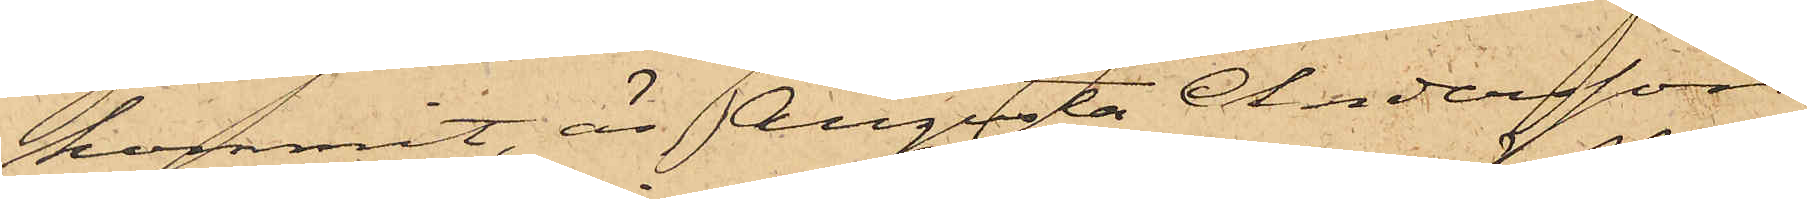kommit, är Augusta Andersson
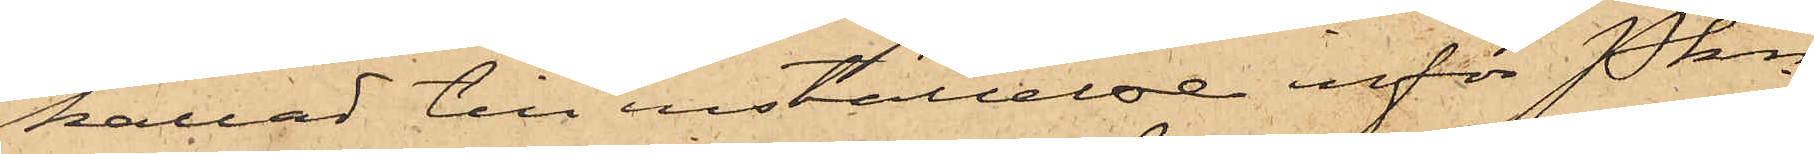kallad till inställelse inför Pkn
